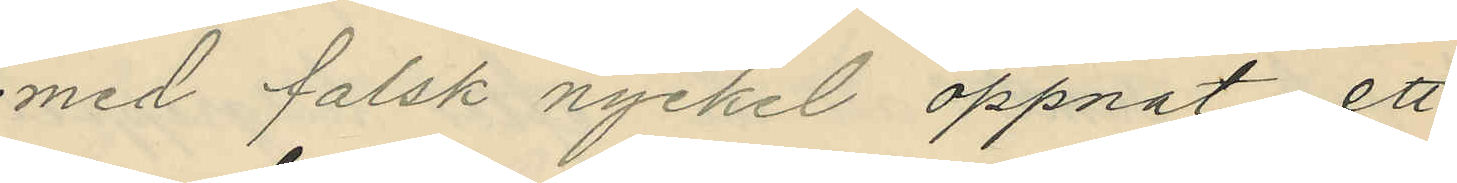med falsk nyckel öppnat ett
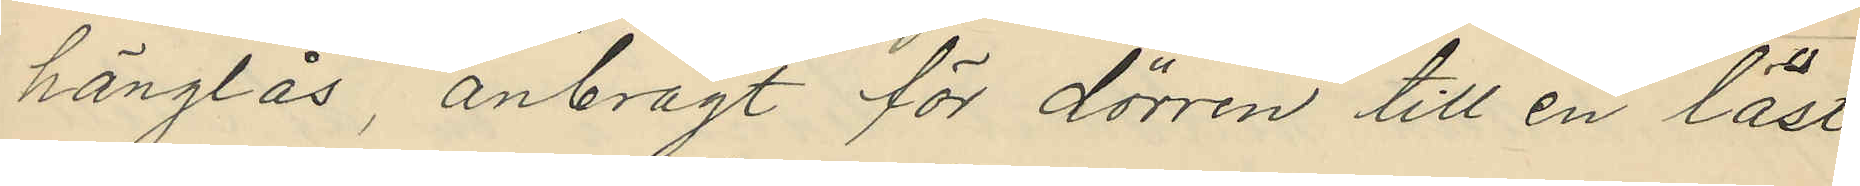hänglås, anbragt för dörren till en låst
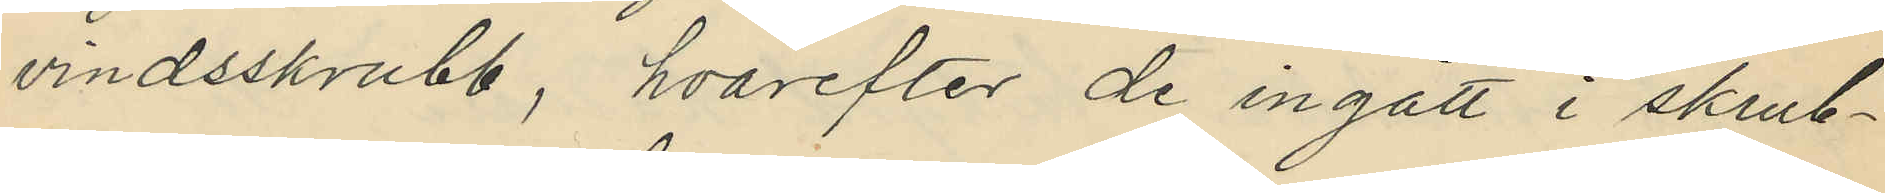vindsskrubb, hvarefter de ingått i skrub¬
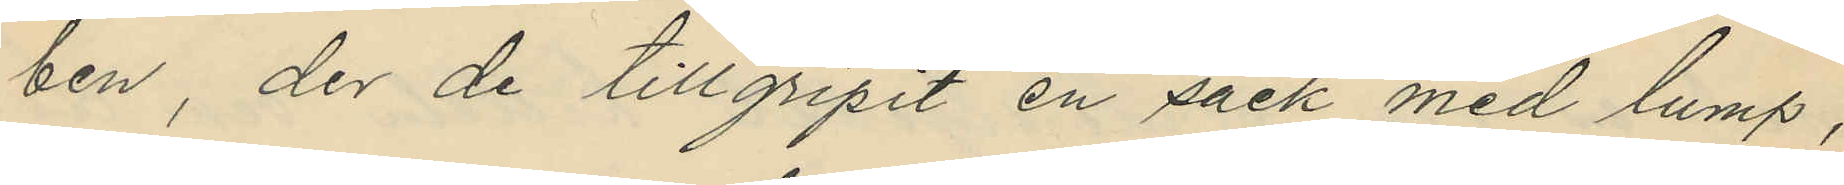ben, der de tillgripit en säck med lump,
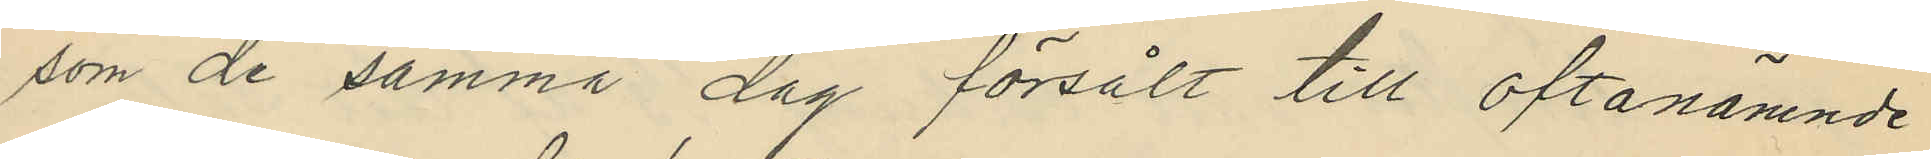som de samma dag försålt till oftanämnde
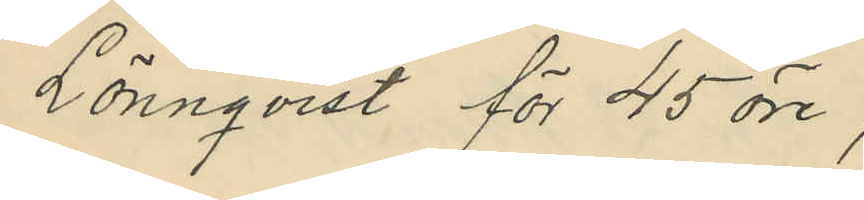Lönnqvist för 45 öre,
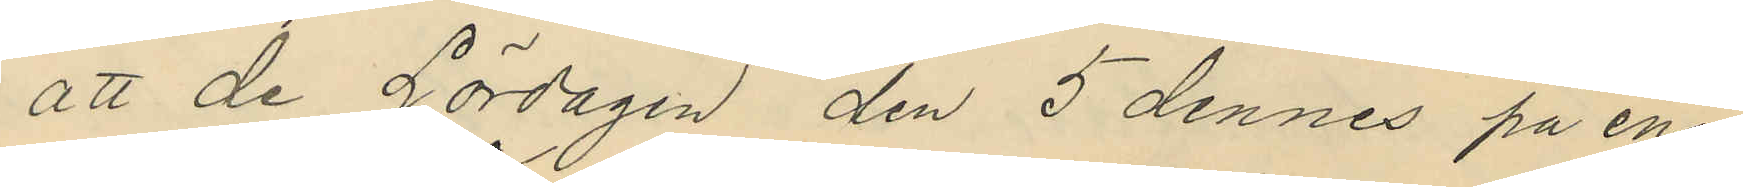att de Lördagen den 5 dennes på ena¬
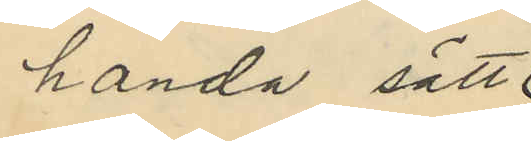handa sätt
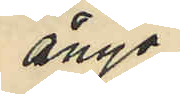ånyo
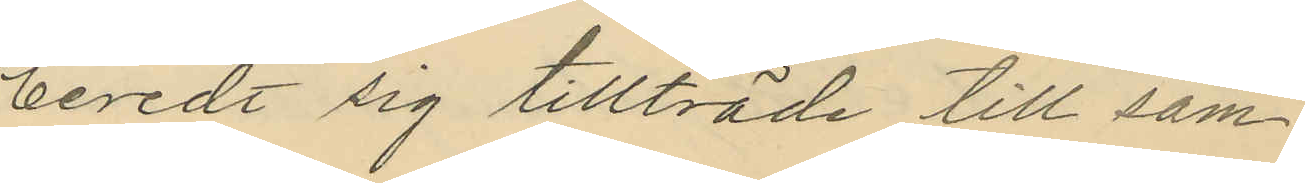beredt sig tillträde till sam
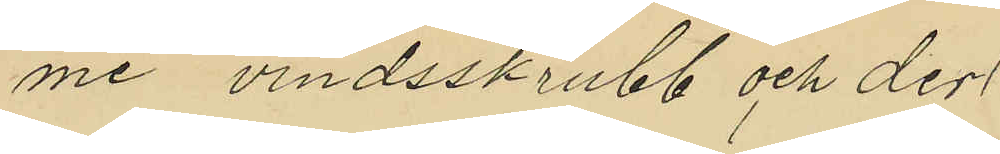me vindsskrubb och der
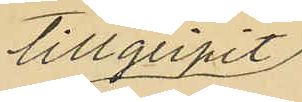tillgripit
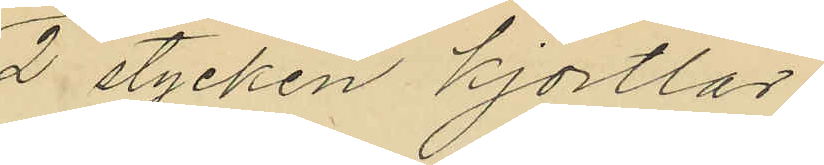2 stycken kjortlar,
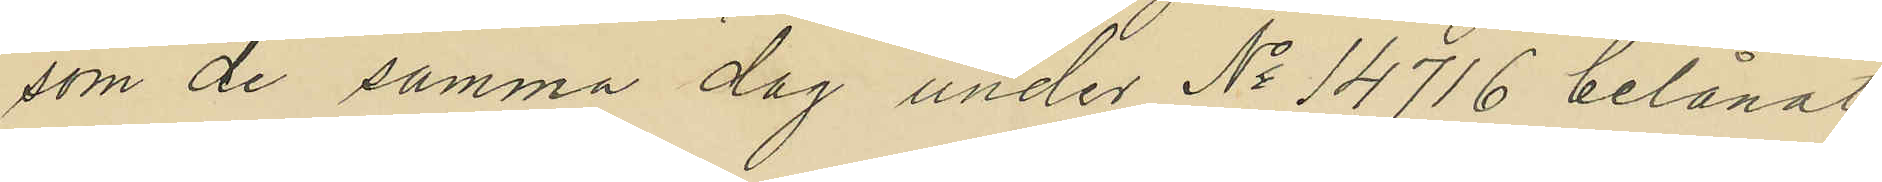som de samma dag under No 14716 belånat
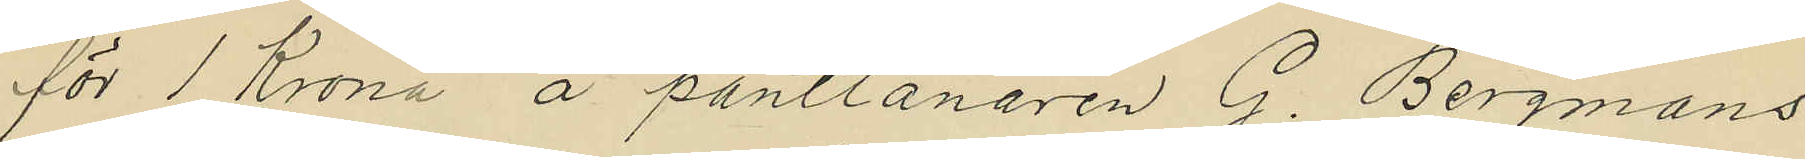för 1 Krona å pantlånaren G. Bergmans
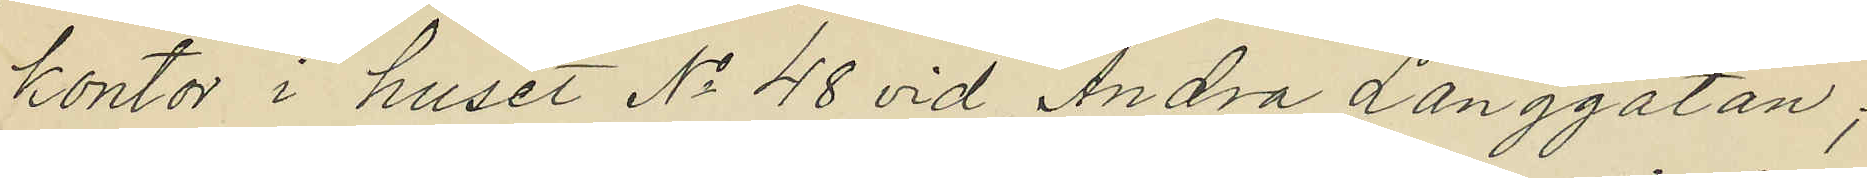kontor i huset No 48 vid Andra Långgatan;
